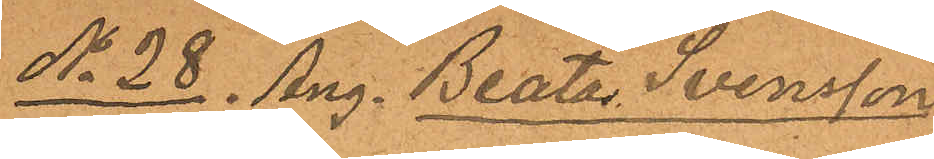No 28 Ang. Beata Svensson
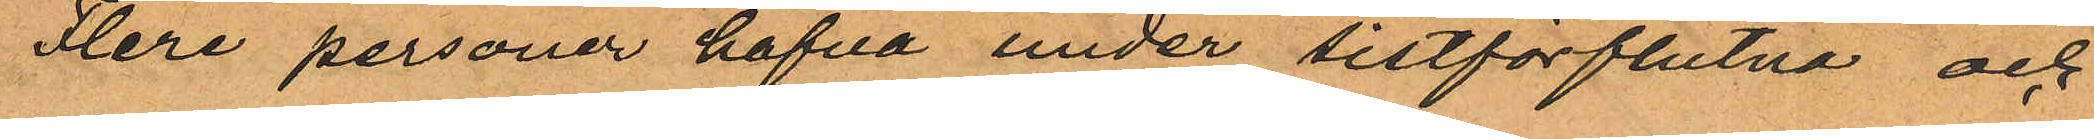Flere personer hafva under sistförflutna och
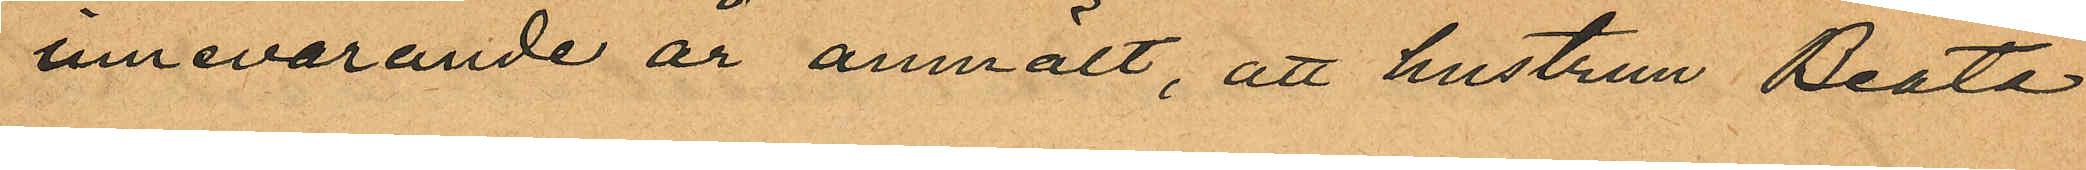innevarande år anmält, att hustrun Beata
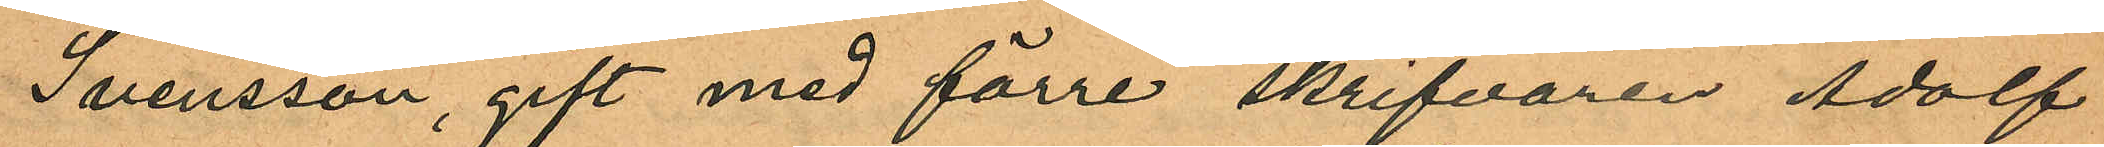Svensson, gift med förre skrifvaren Adolf
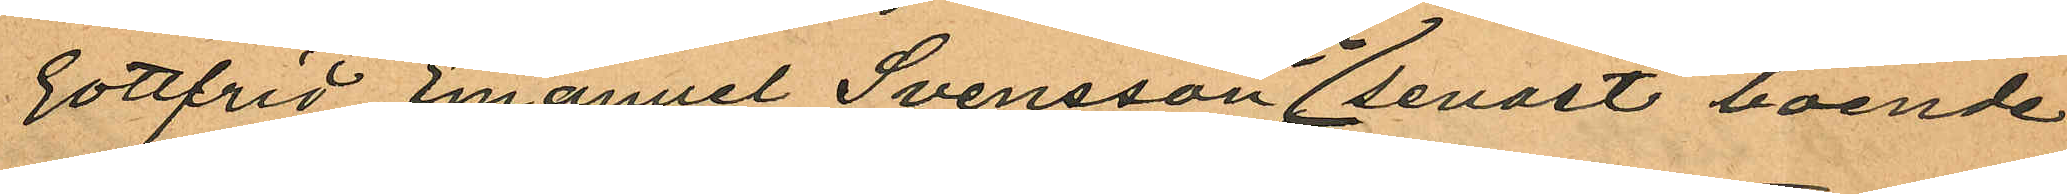Gottfrid Emanuel Svensson senast boende
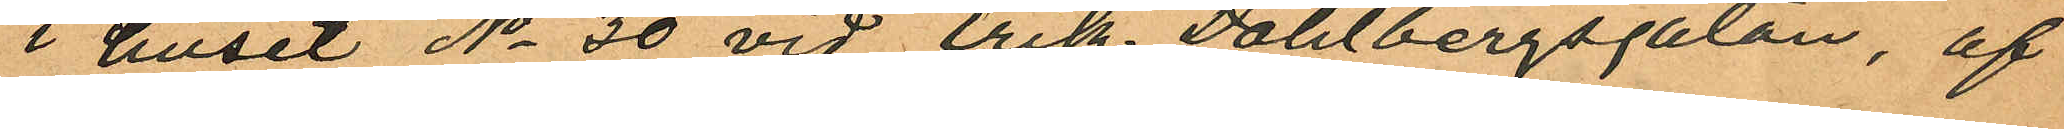i huset No 30 vid Erik Dahlbergsgatan, af
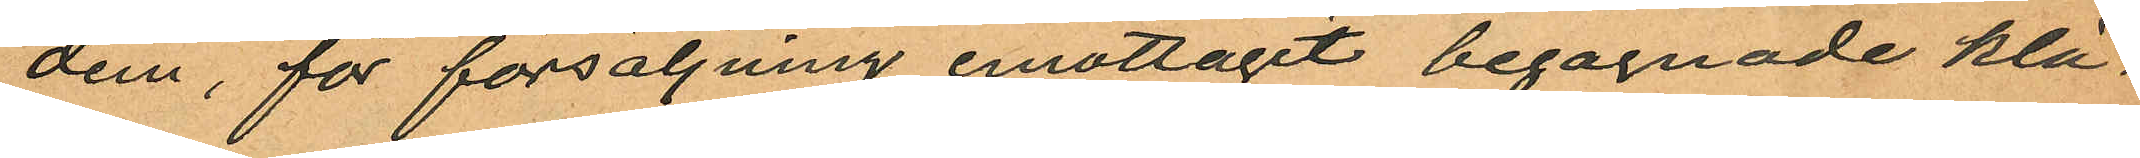dem, för försäljning emottagit begagnade klä¬
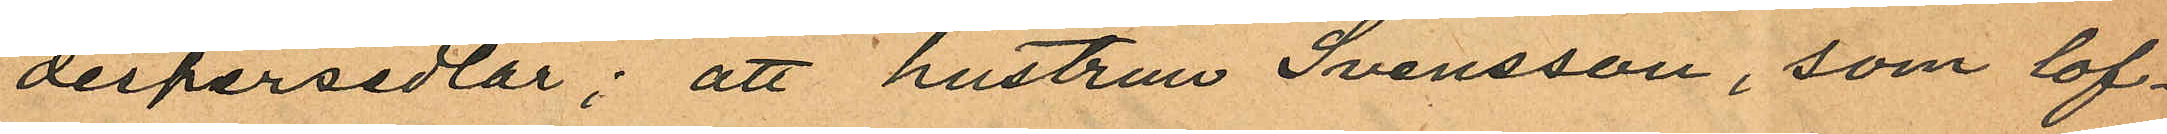despersedlar; att hustrun Svensson, som lof¬
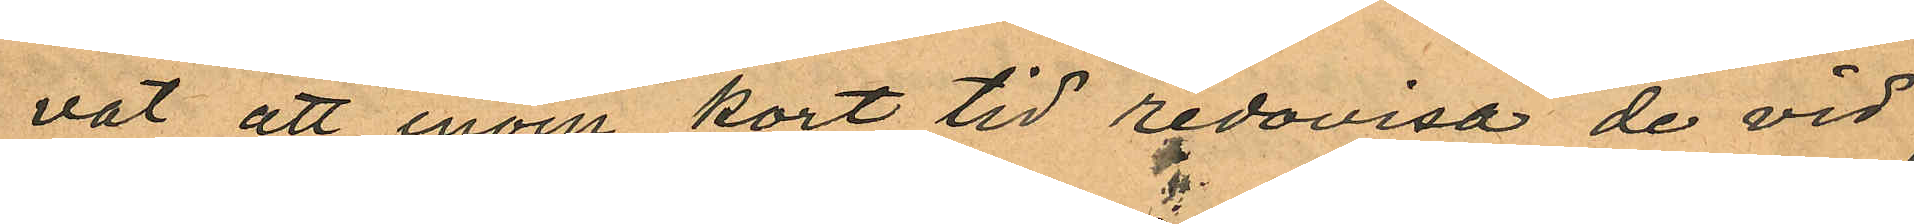vat att inom kort tid redovisa de vid
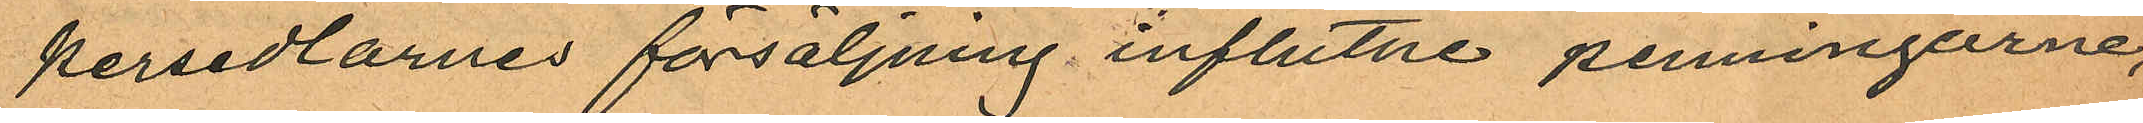persedlarnes försäljning influtne penningarne,
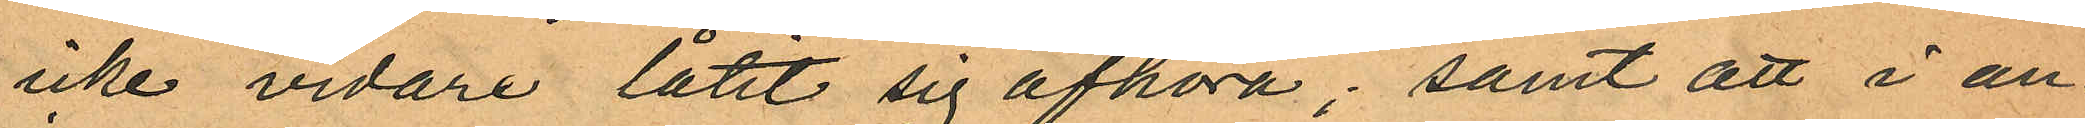icke vidare låtit sig afhöra; samt att i an¬
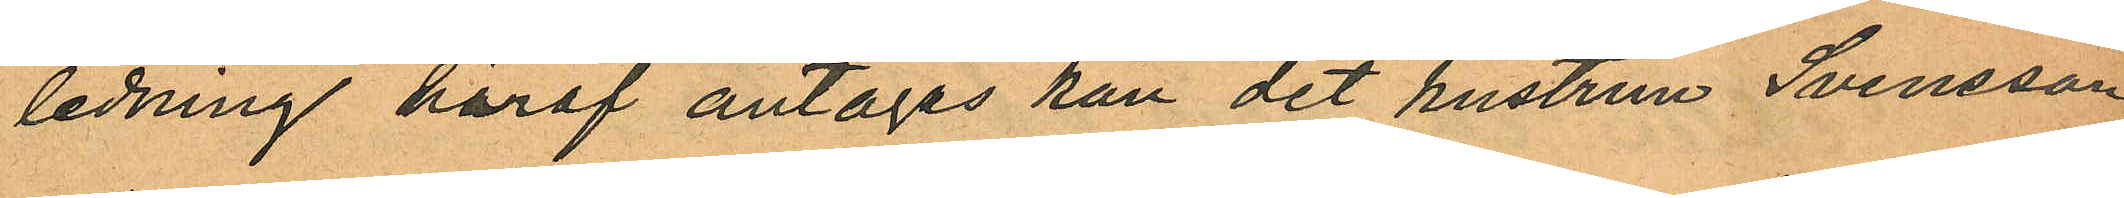ledning häraf antagas kan det hustrun Svensson
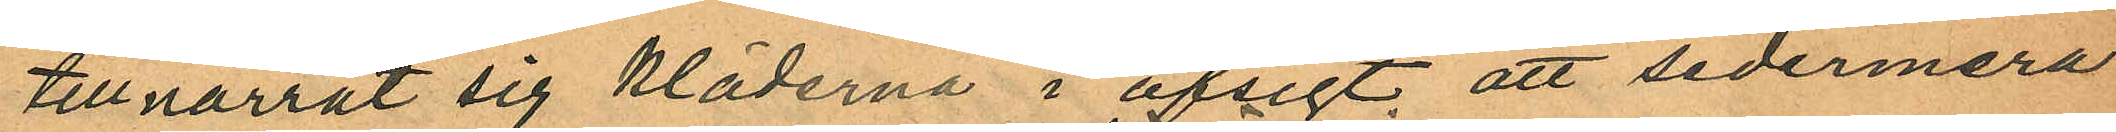tillnarrat sig kläderna i afsigt, att sedermera
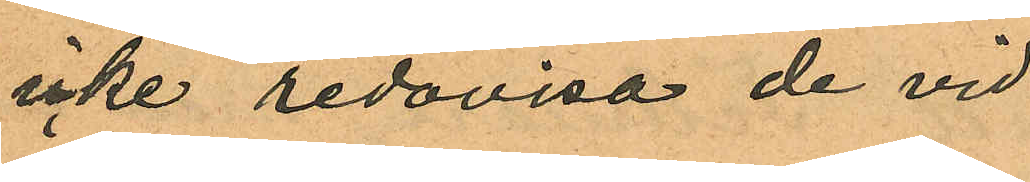icke redovisa de vid
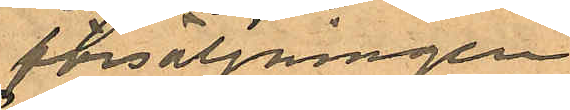försäljningen
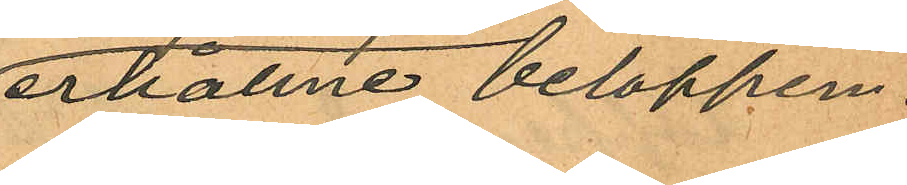erhållne beloppen.
